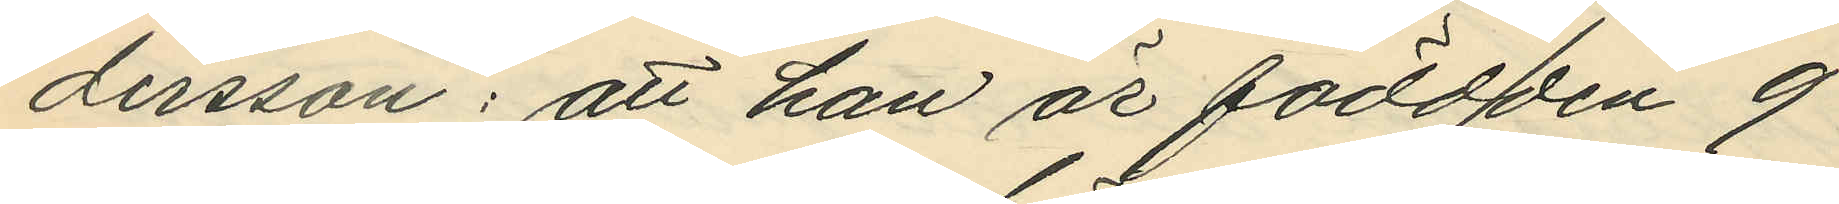dersson: att han är född den 9
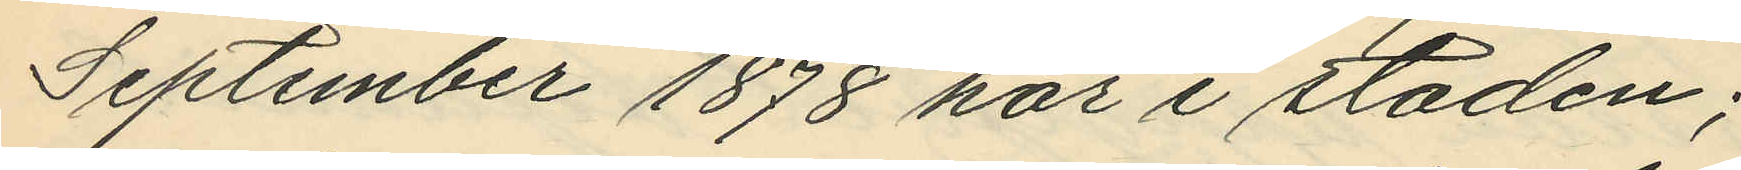September 1878 här i staden;
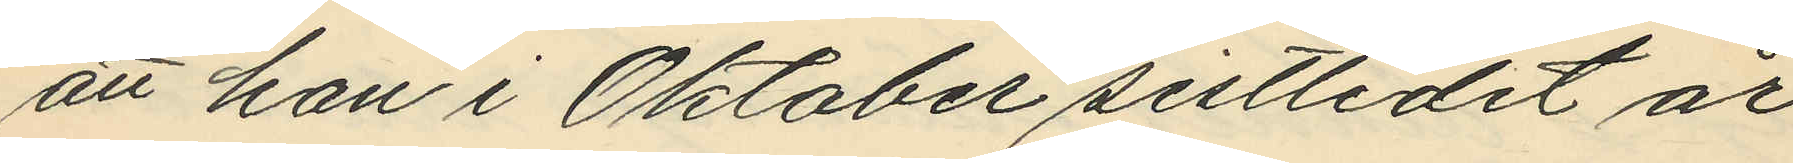att han i Oktober sistlidet år
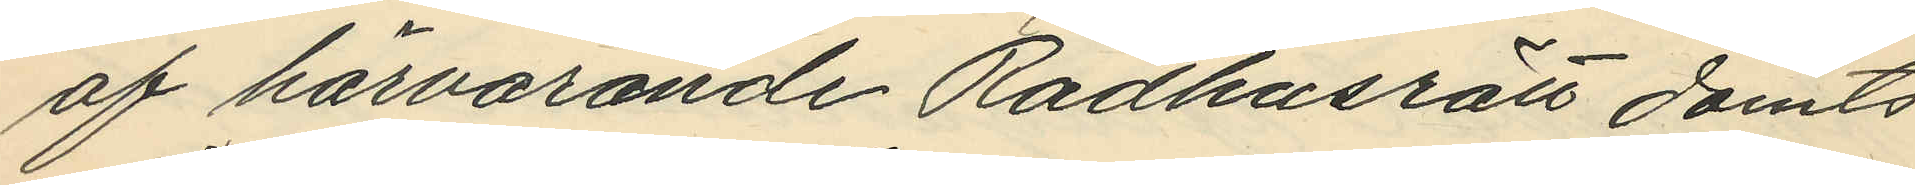af härvarande Rådhusrätt dömts
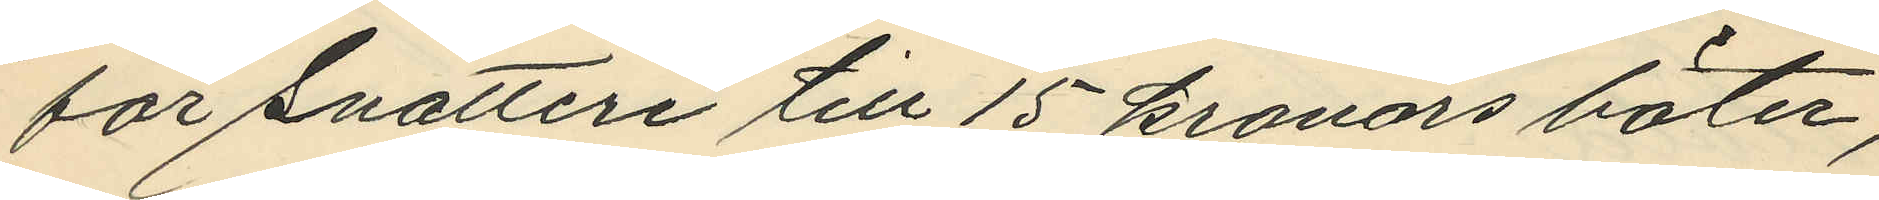för snatteri till 15 kronors böter;
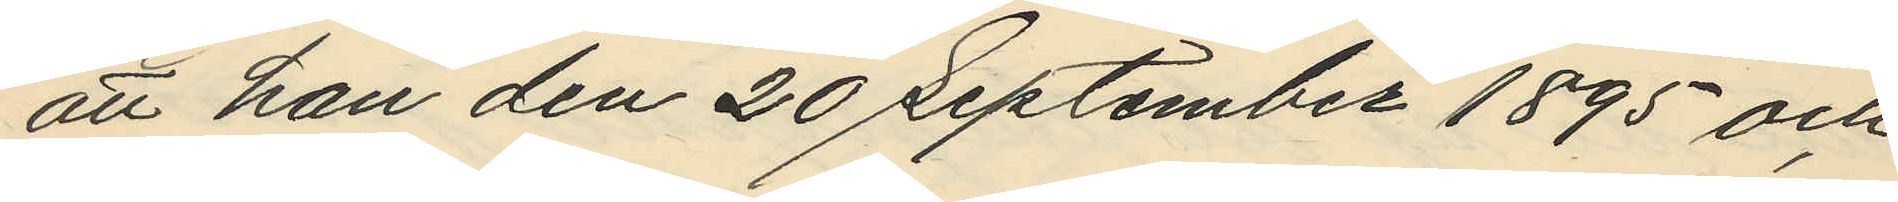att han den 20 September 1895 och
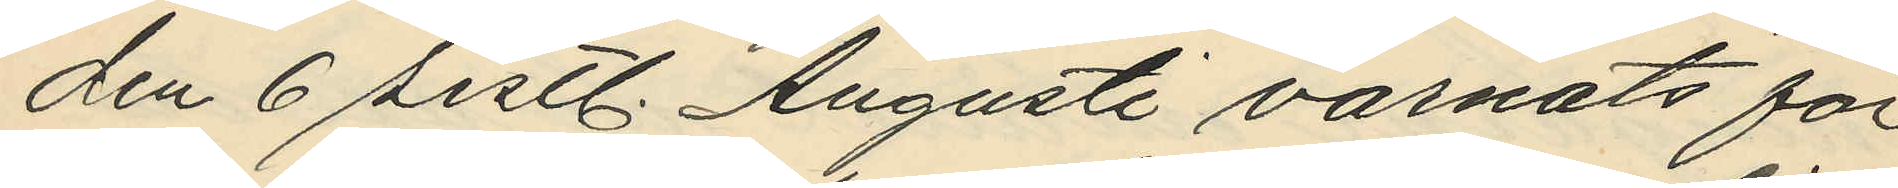den 6 sistl. Augusti varnats för
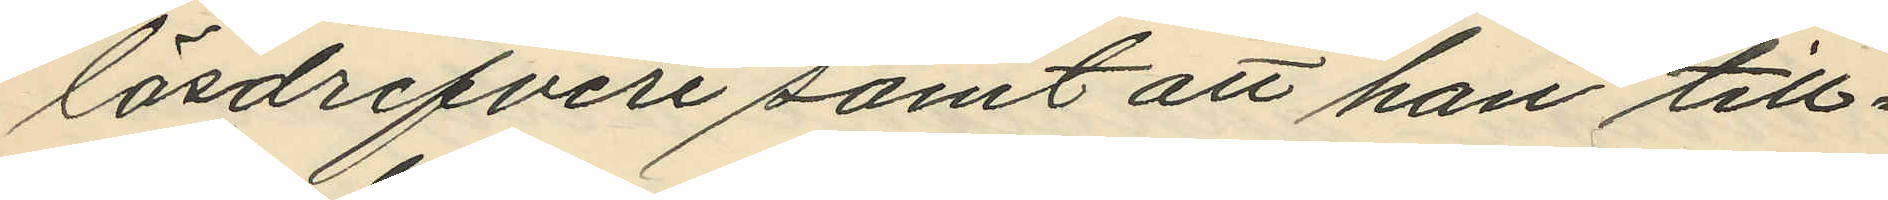lösdrifveri samt att han till¬
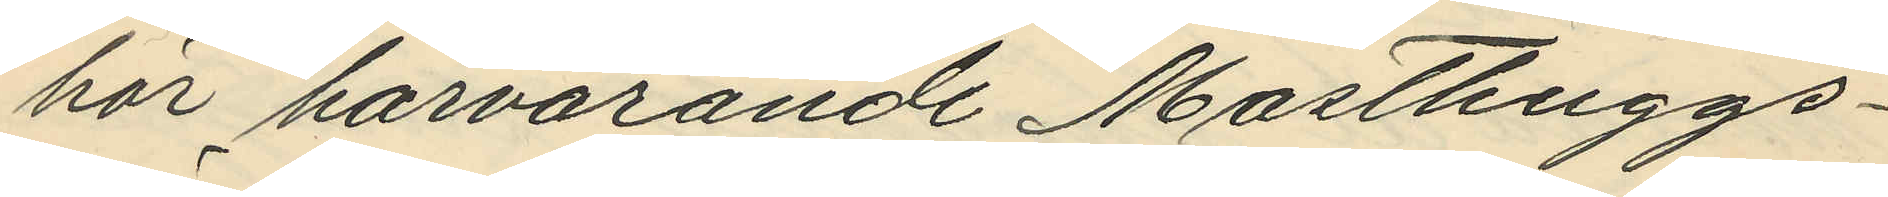hör härvarande Masthuggs¬
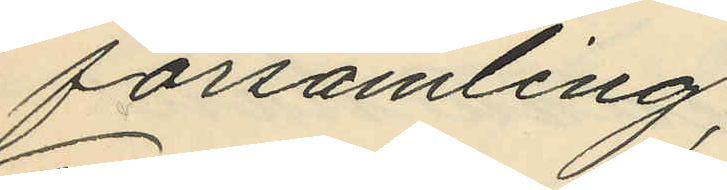församling;
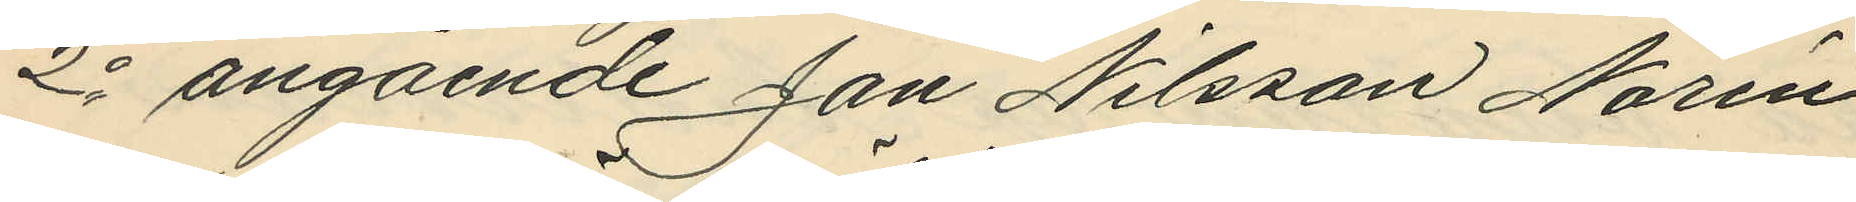2o angående Jan Nilsson Norén
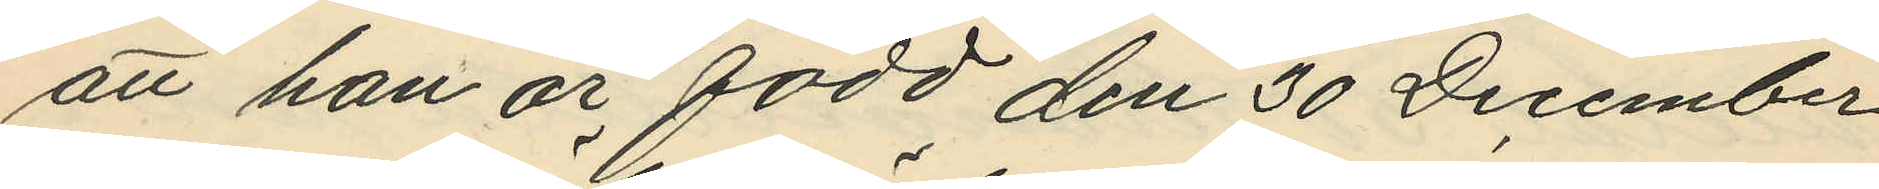att han är född den 30 December
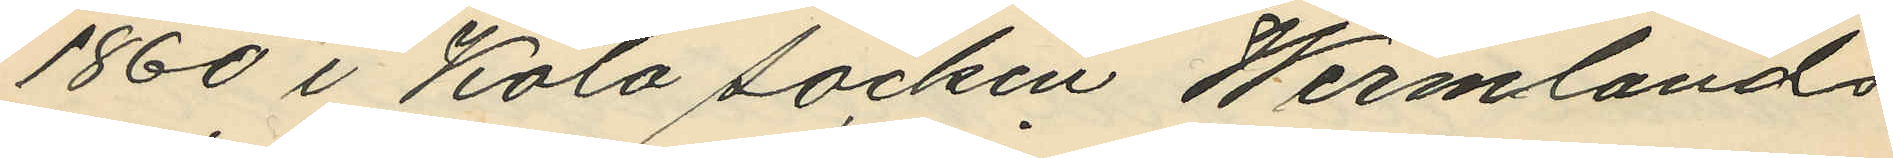1860 i Köla söcken Wermlands
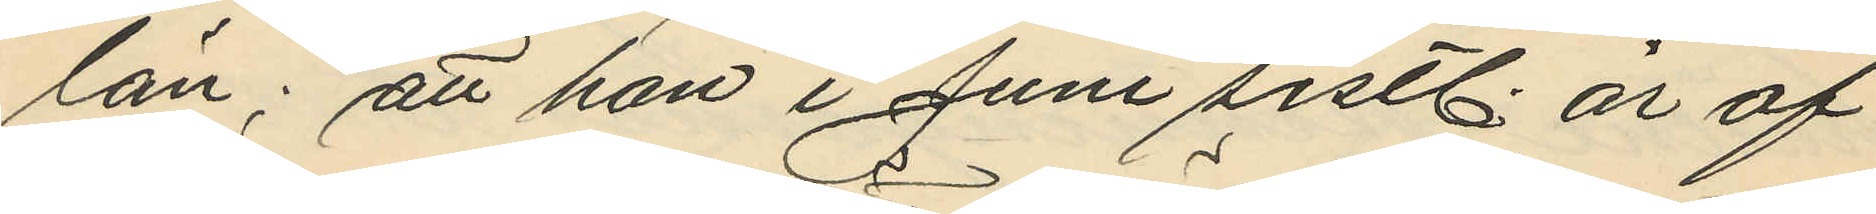län; att han i Juni sistl. år af
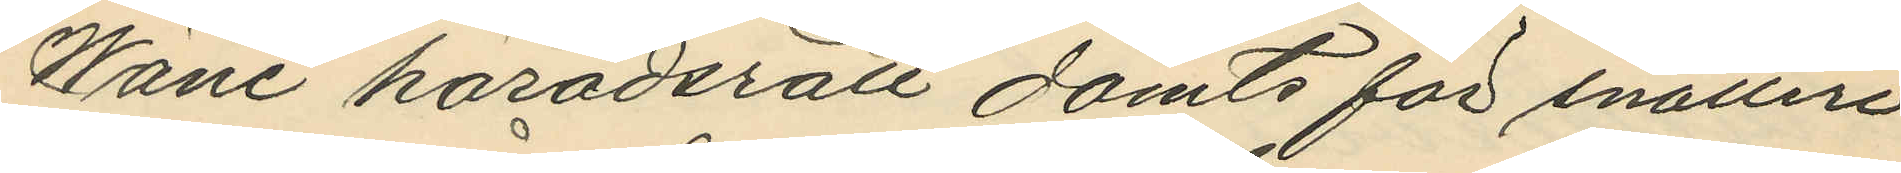Wäne häradsrätt dömts för snatteri
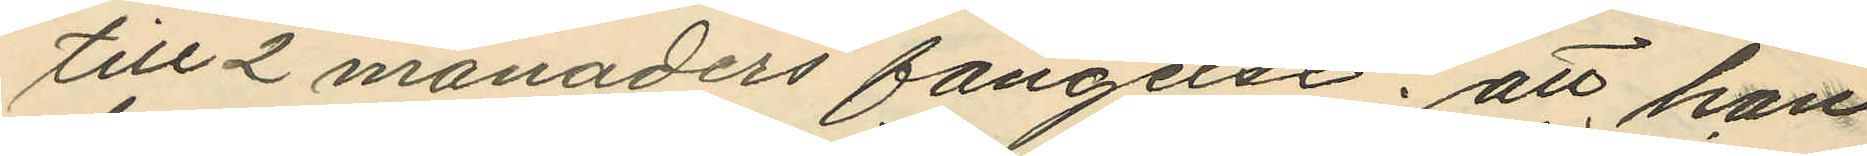till 2 månaders fängelse; att han
